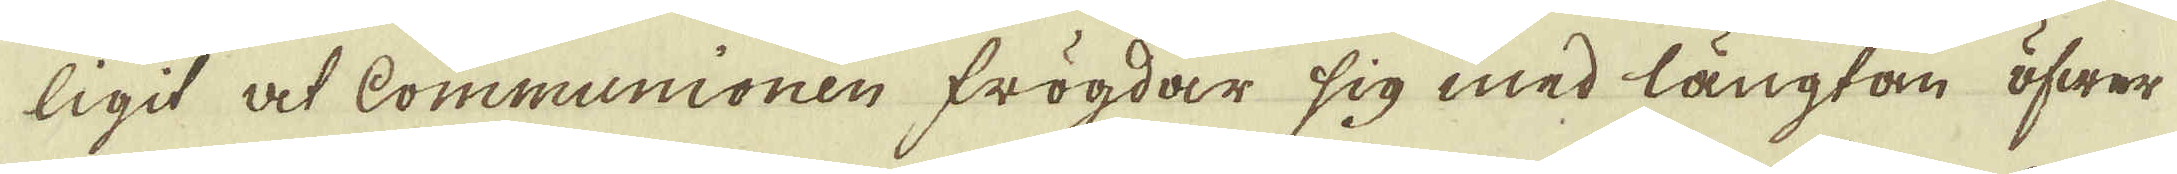ligit at Communionen frögdar sig med längtan öfwer
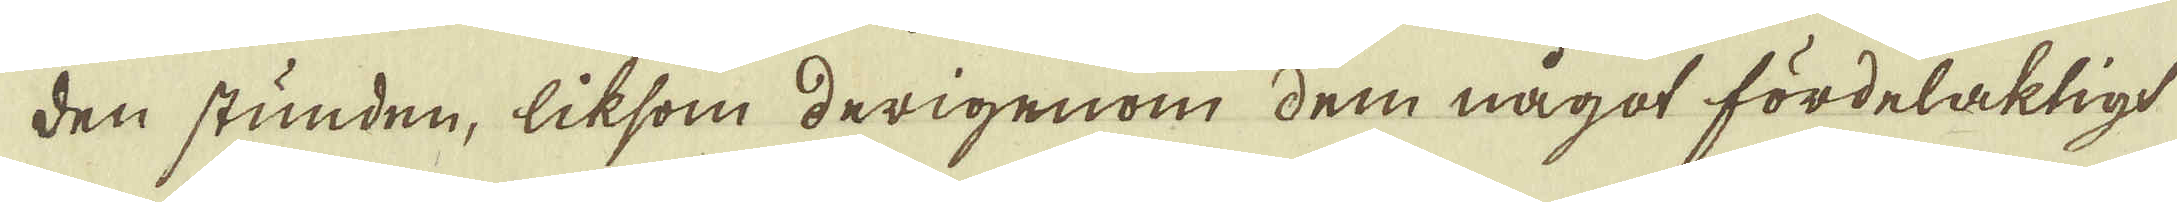den stunden, liksom derigenom dem något fördelaktigt
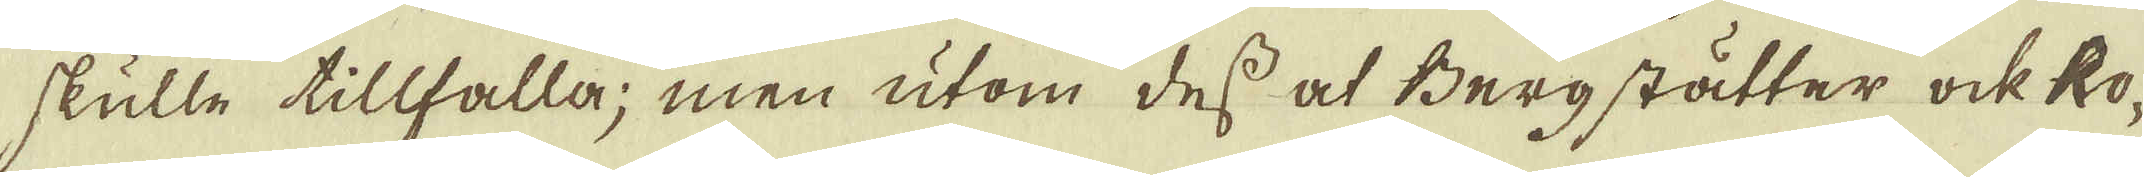skulle tillfalla; men utom dess af Bergstätter ock ko-
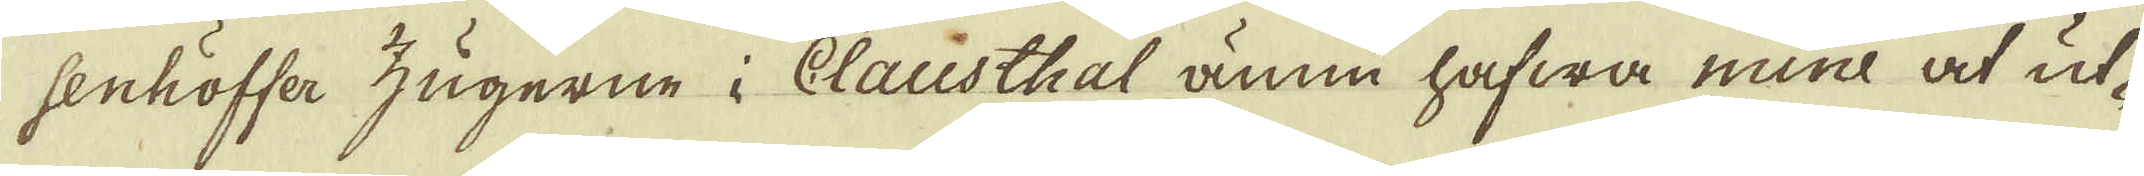senhöffer zugerne i Clausthal ännu hafwa mine at ut-
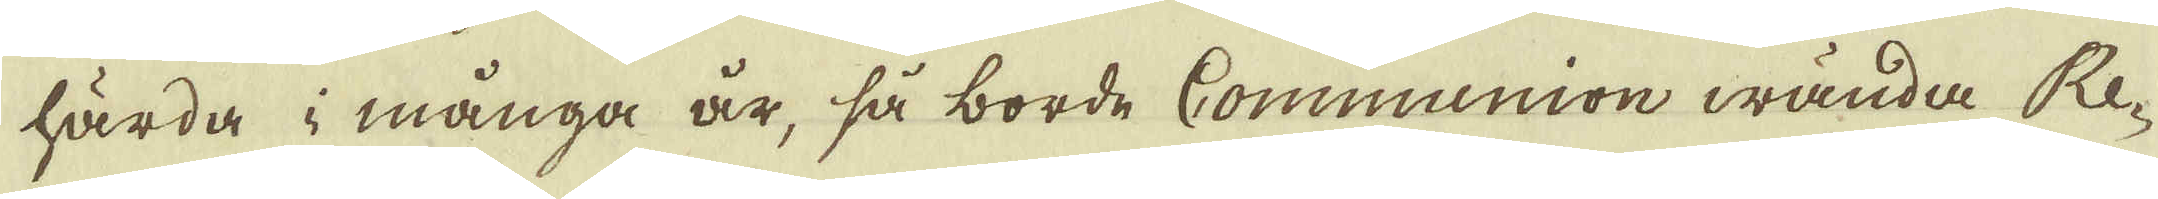härda i många år, så borde Communion wända Re-
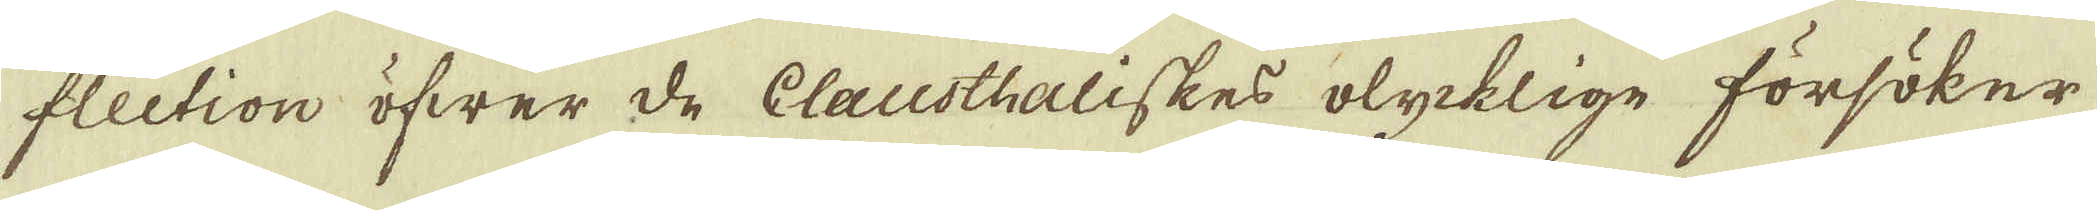flection öfwer de Clausthaliskes olycklige försöker
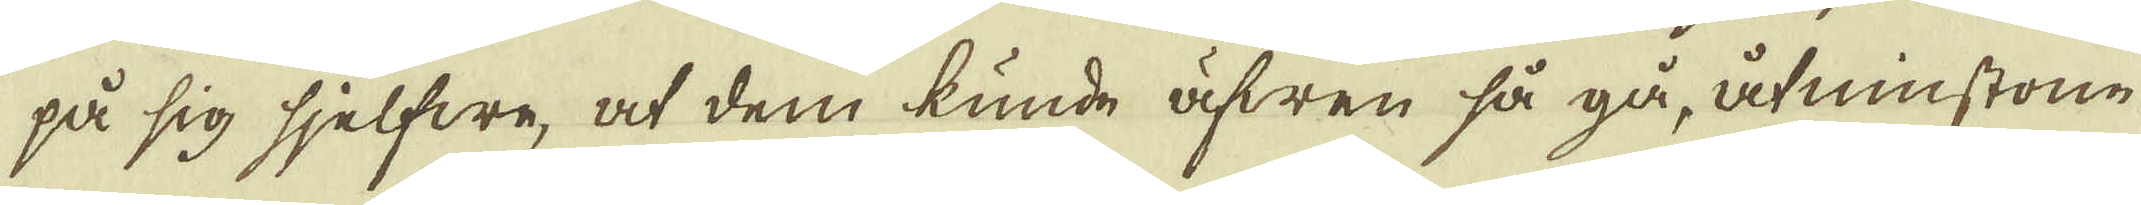på sig sjelfwe, at dem kunde äfwen så gå, åtminstone
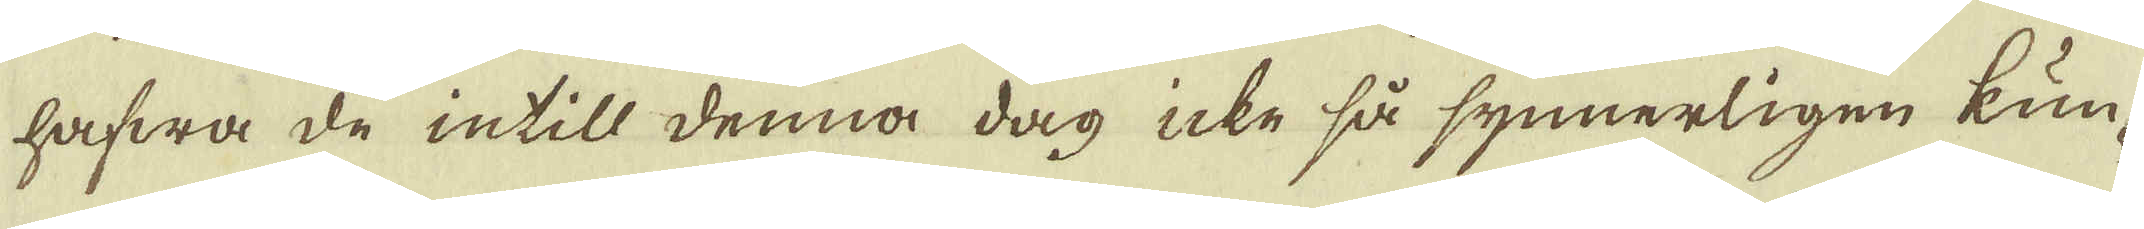hafwa de intill denna dag icke så synnerligen kun-
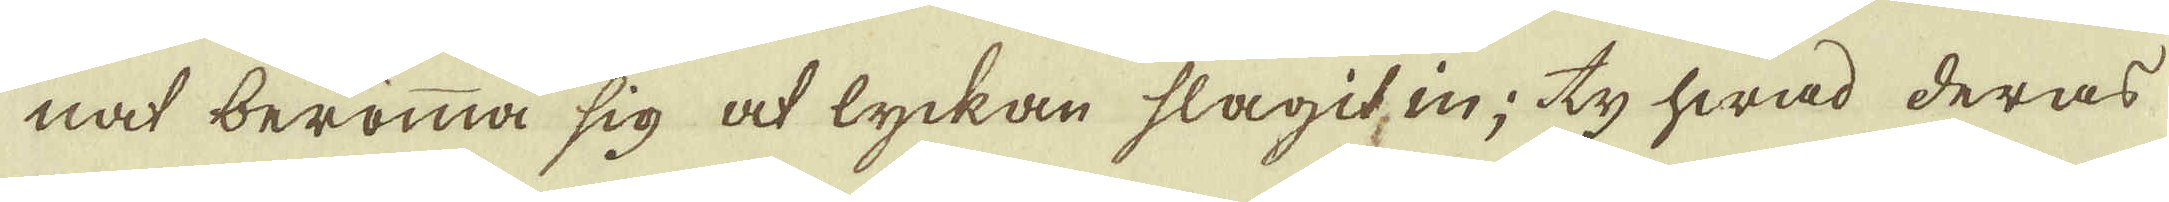nat berömma sig at lyckan slagit, in; ty hwad deras
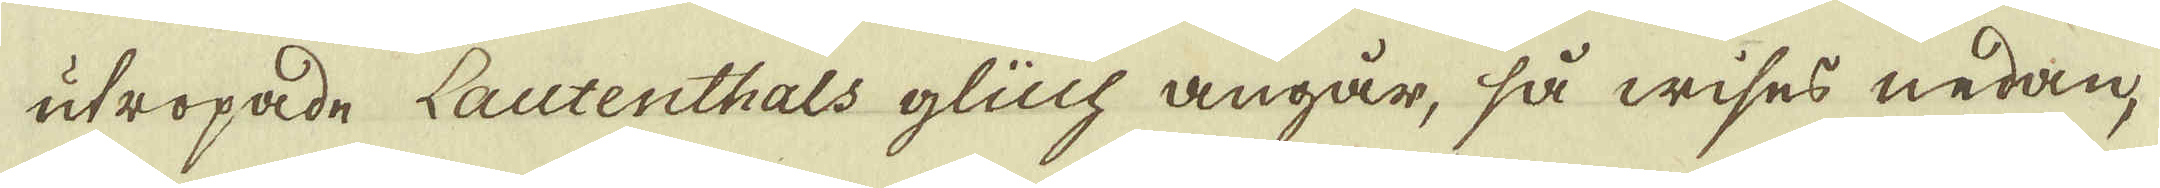utropade Lautenthals glüch angår, så wises nedan,
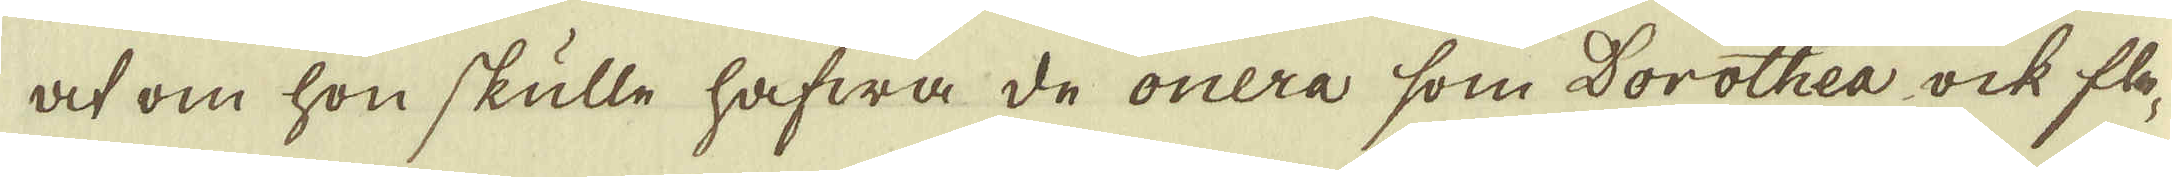at om hon skulle hafwa de onera som Dorothea ock fle-
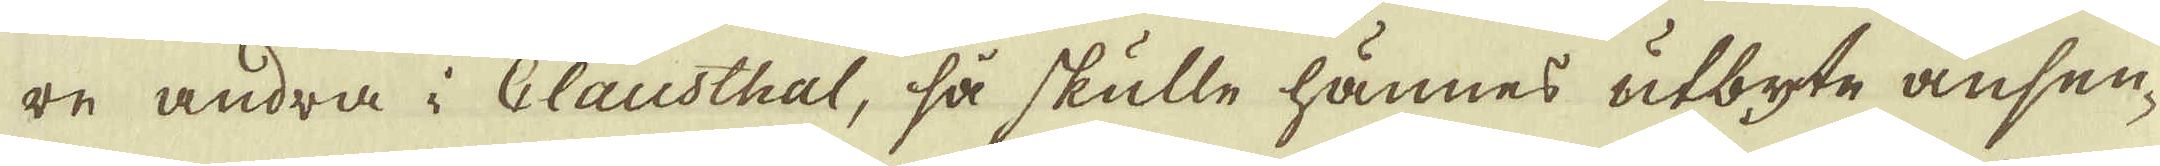re andra i Clausthal, så skulle hännes utbyte ansen-
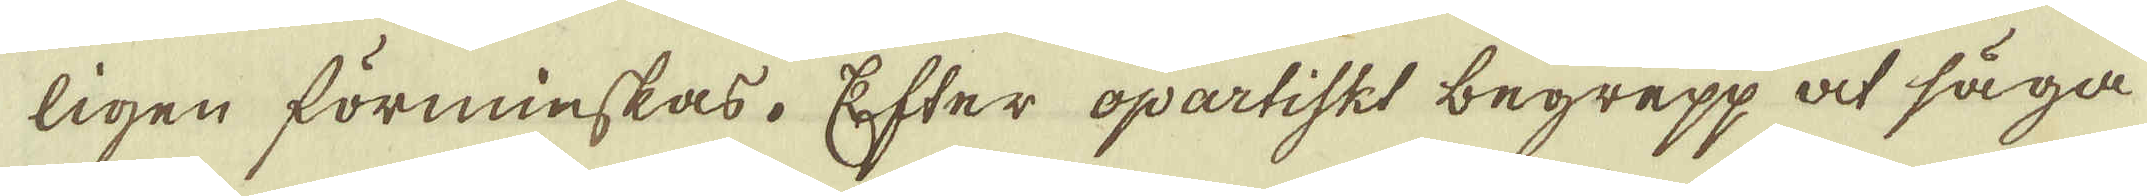ligen förminskas. Efter opartiskt begepp at säga
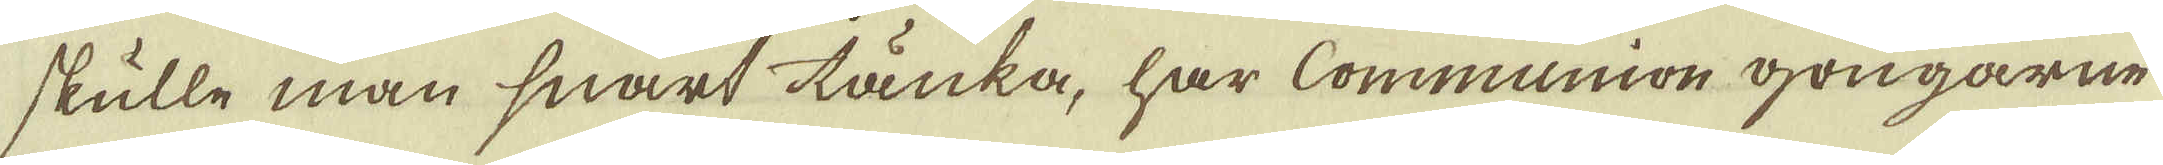skulle man snart tänka, har Communion gongarne
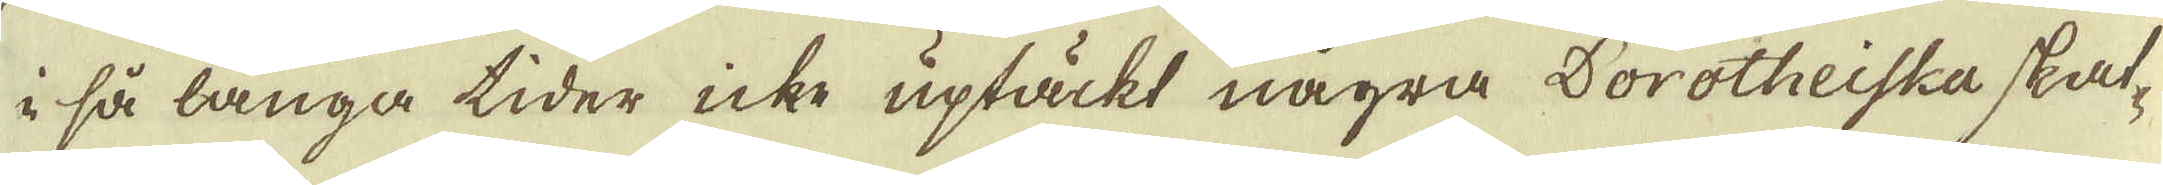i så långa tider icke uptäckt några Dorotheiske skat-
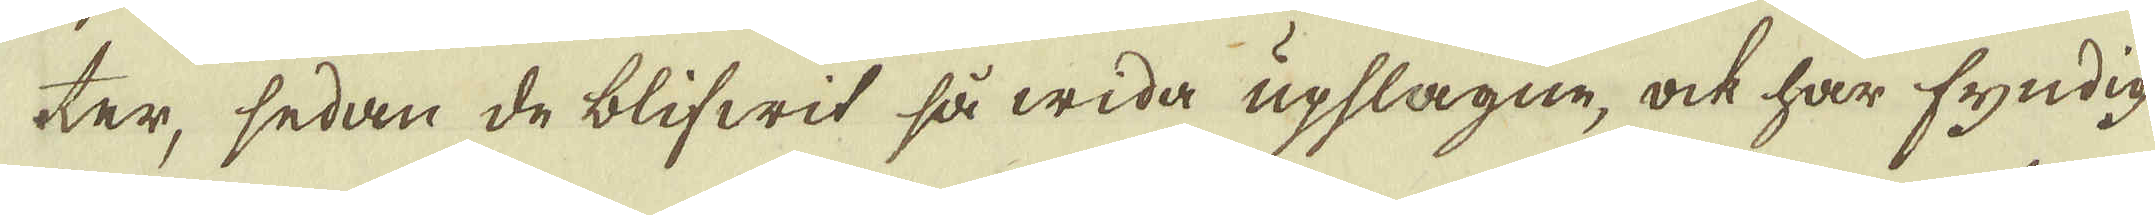ter, sedan de blifwit så wida upslagne, ock har fyndig
